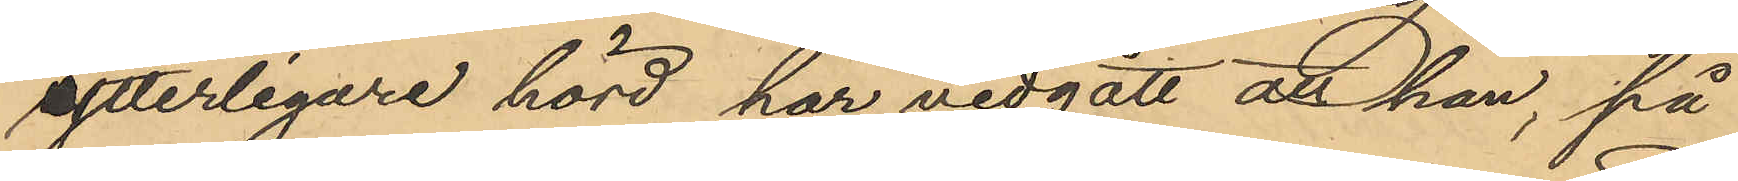ytterligare hörd, har vidgått att han, på
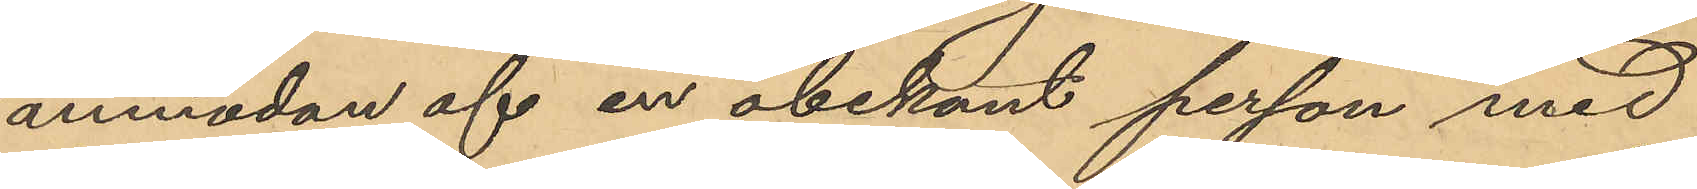anmodan af en obekant person med
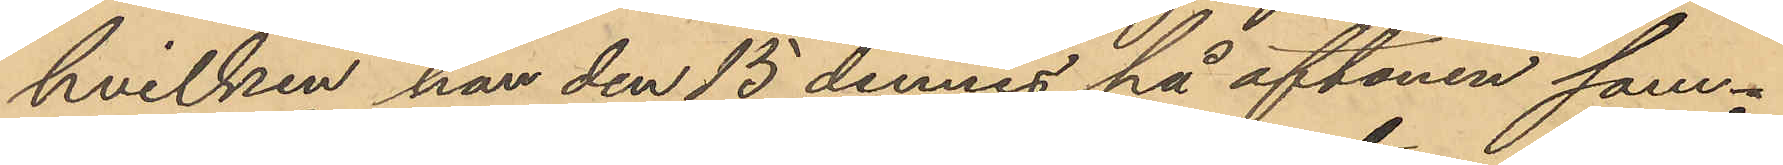hvilken han den 15 dennes på aftonen sam¬
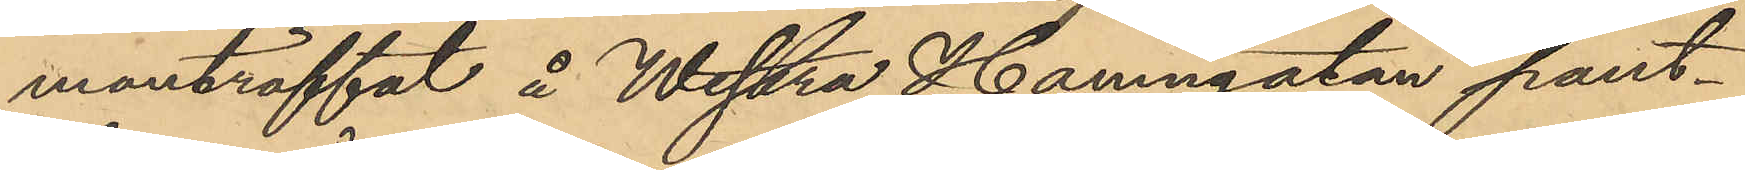manträffat å Westra Hamngatan pant¬
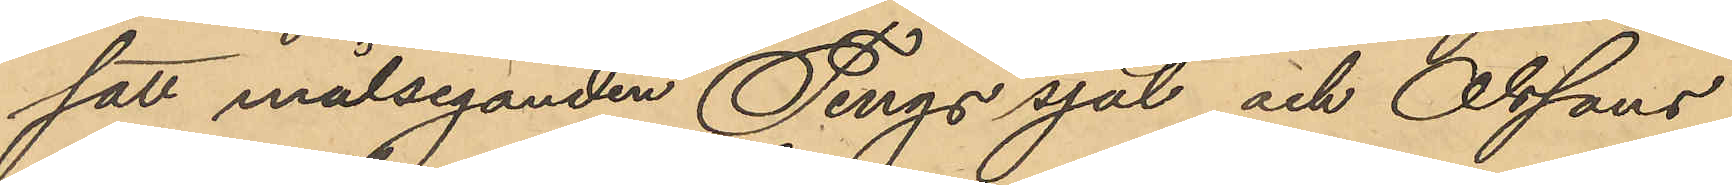satt målseganden Tings sjal och Olssons
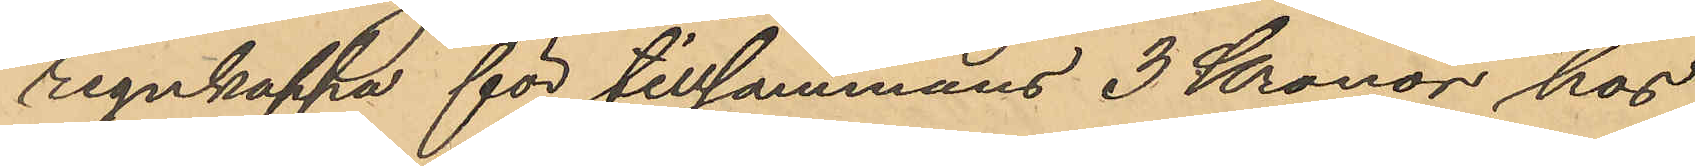regnkappa för tillsammans 3 Kronor hos
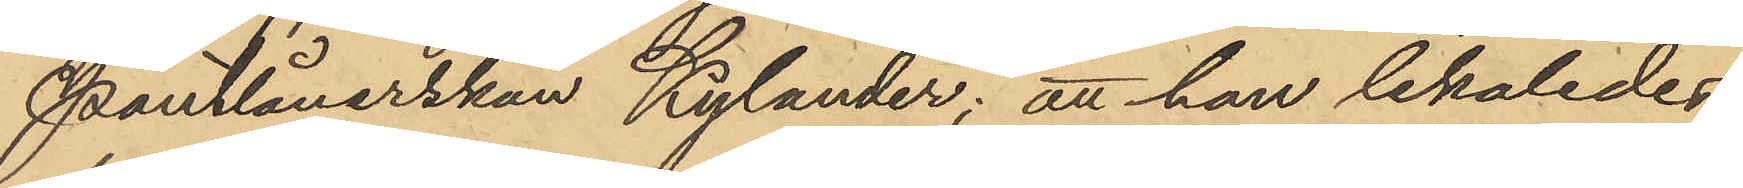Pantlånerskan Kylander; att han likaledes
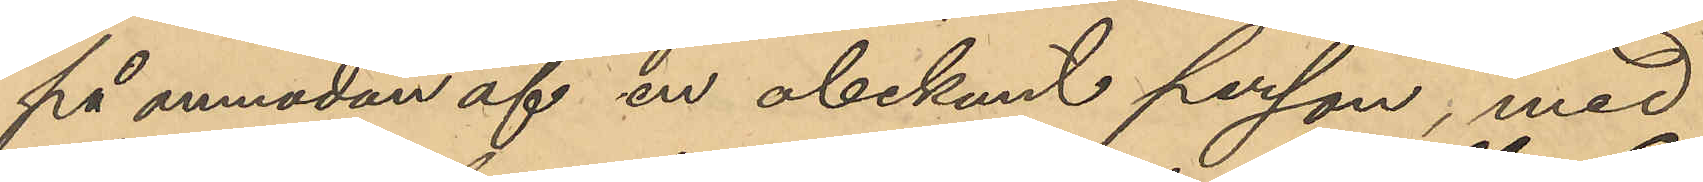på anmodan af en obekant person, med
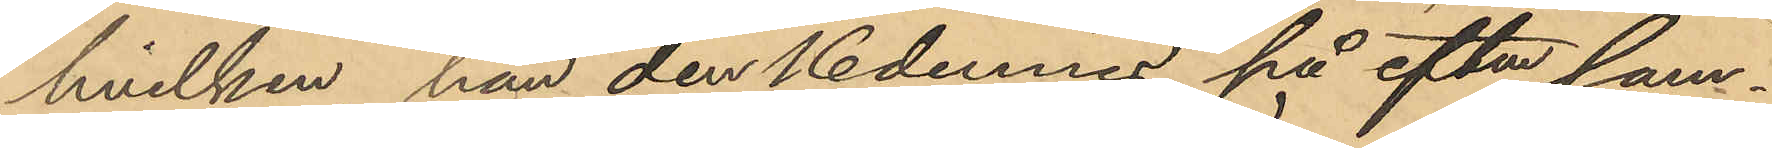hvilken han den 16 dennes på eftm sam¬
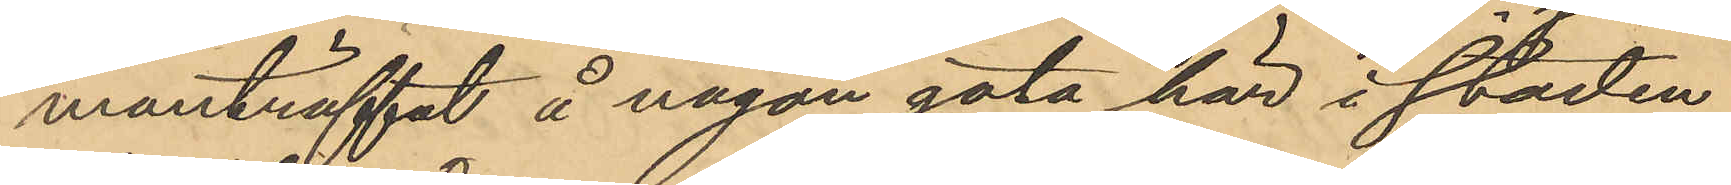manträffat å någon gata här i staden
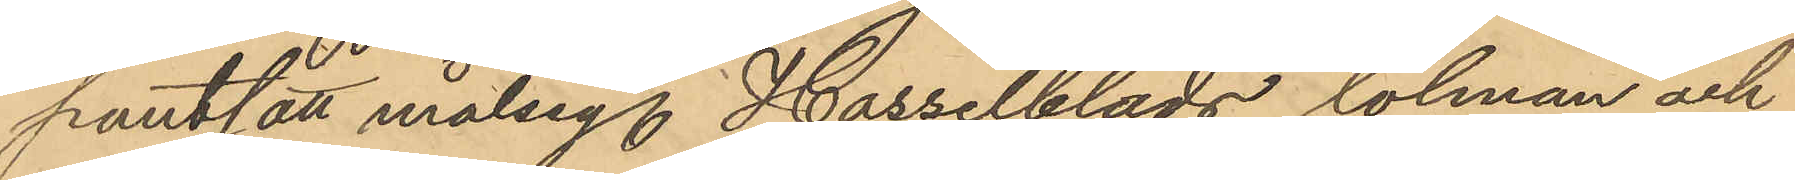pantsatt målseg Hasselblads dolman och
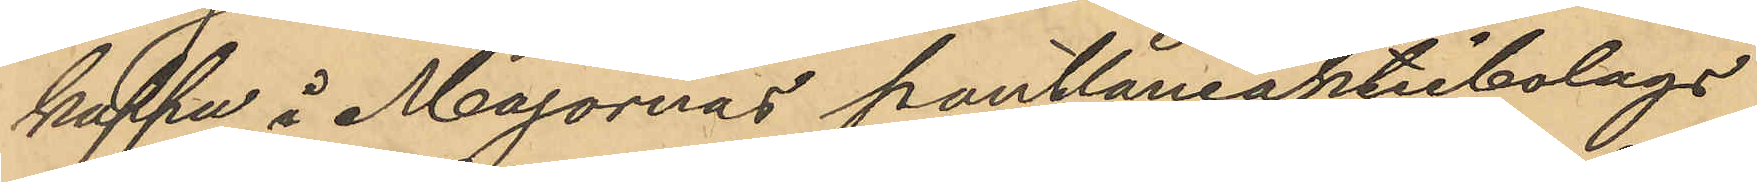kappa å Majornas pantlåneaktiebolags
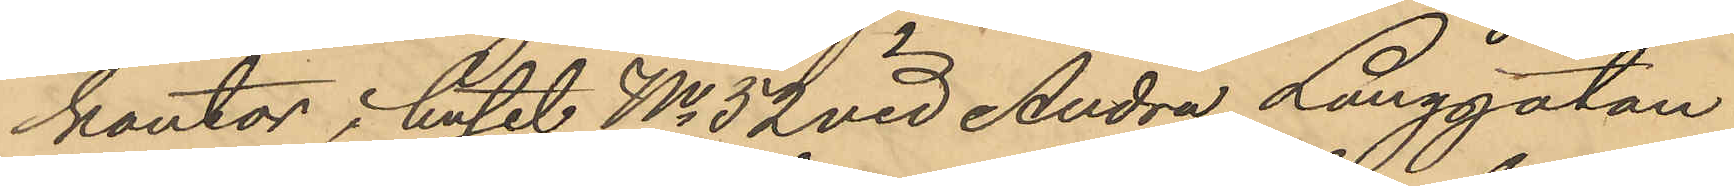kontor i huset No 52 vid Andra Långgatan
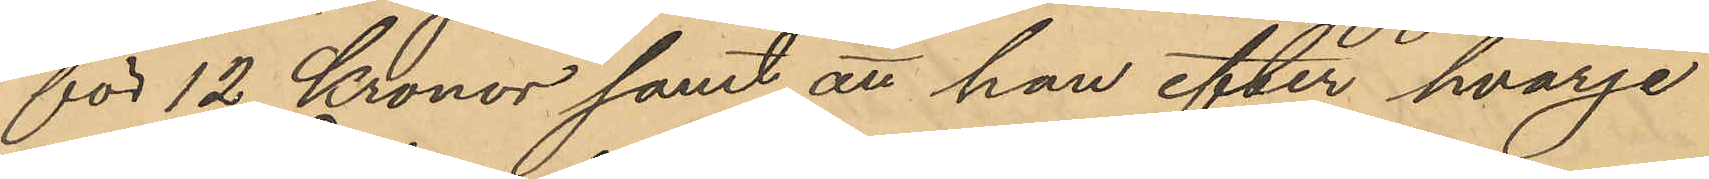för 12 Kronor samt att han efter hvarje
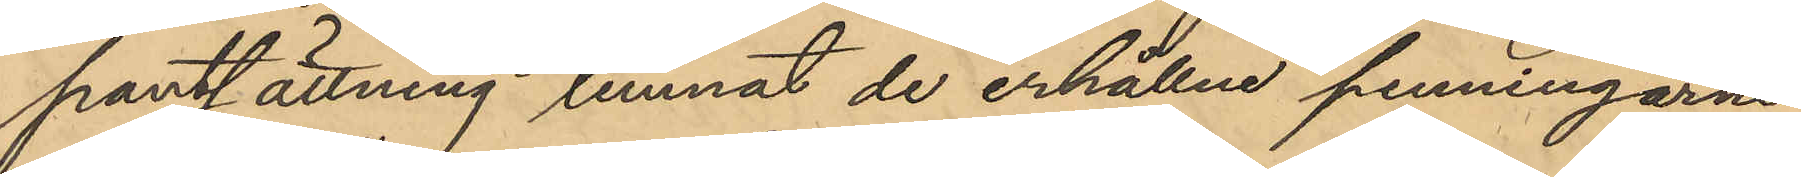pantsättning lemnat de erhållne penningarne
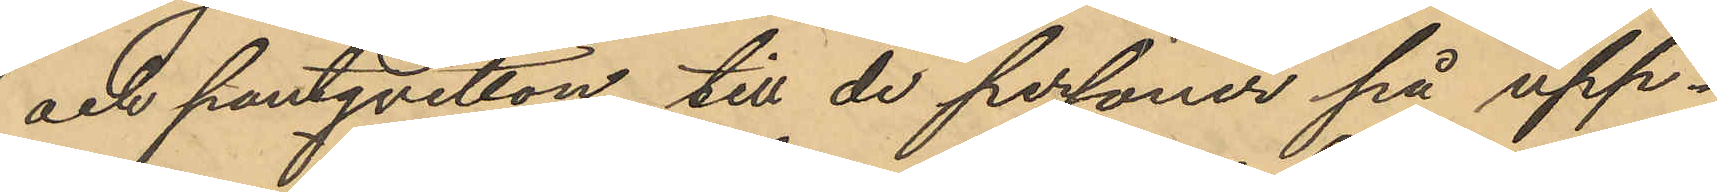och pantqvitton till de personer på upp¬
